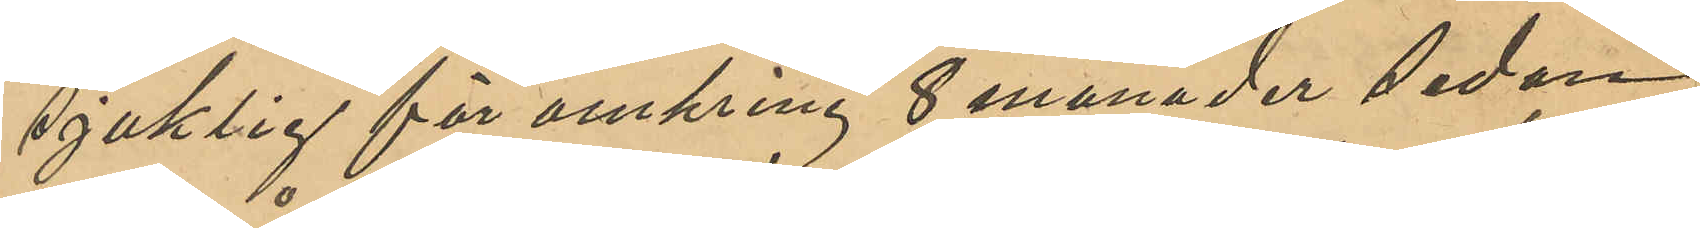sjuklig för omkring 8 månader sedan
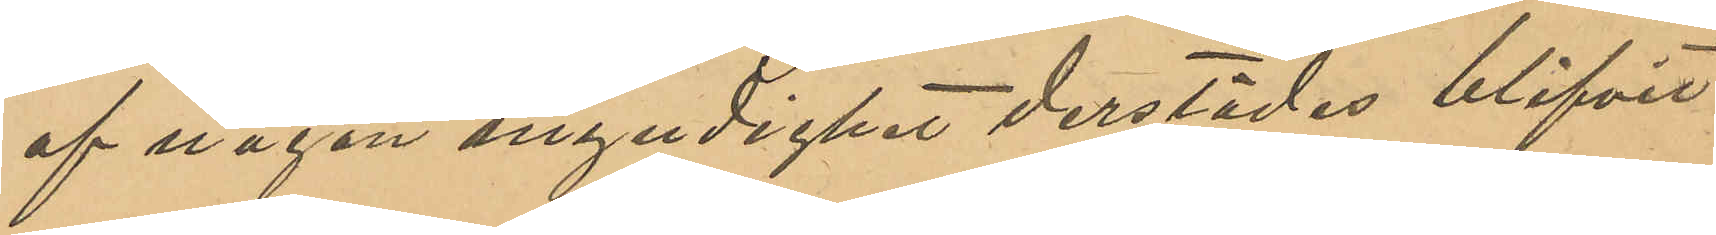af någon myndighet derstädes blifvit
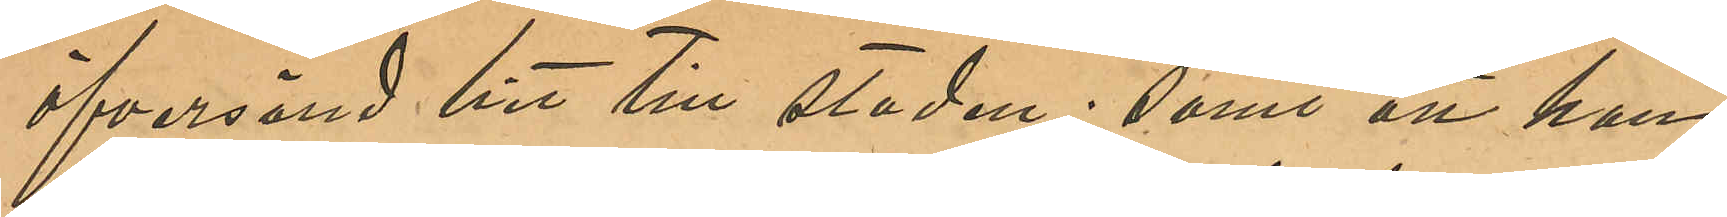öfversänd hit till staden; samt att han
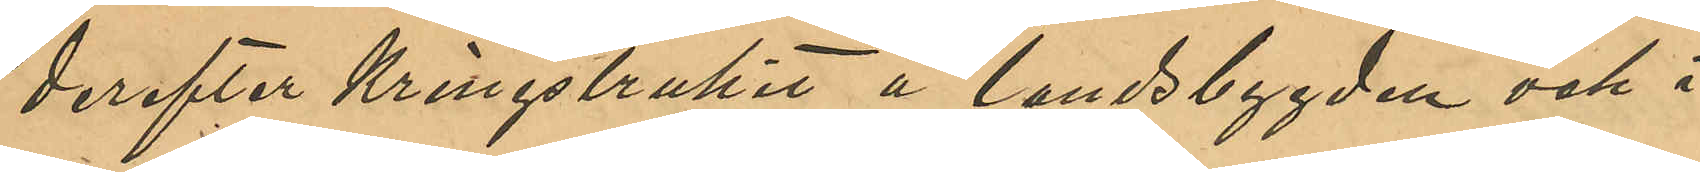derefter kringstrukit å landsbygden och i
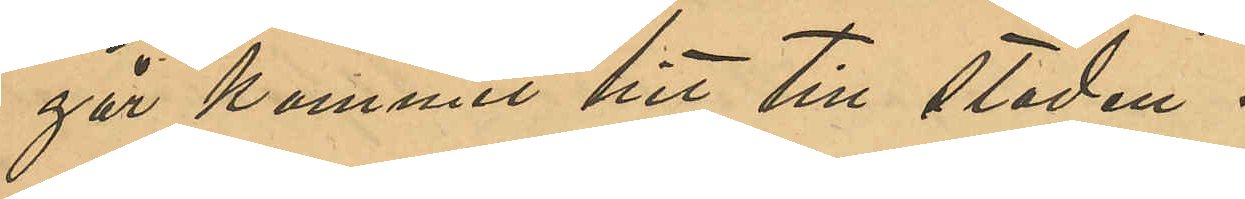går kommit hit till staden.
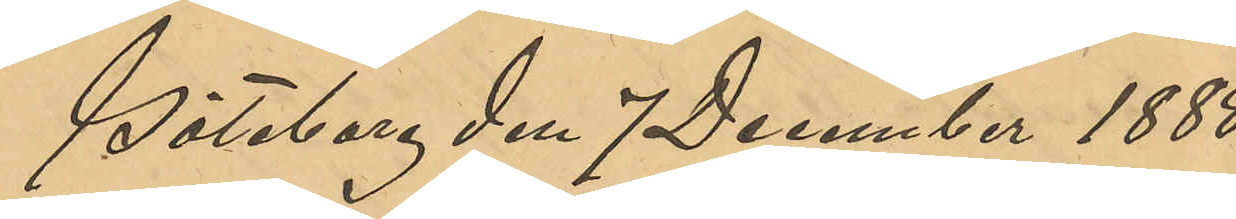Göteborg den 7 December 1888.
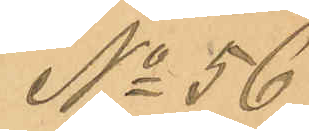No 56
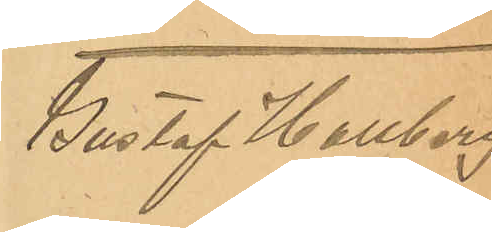Gustaf Hallberg
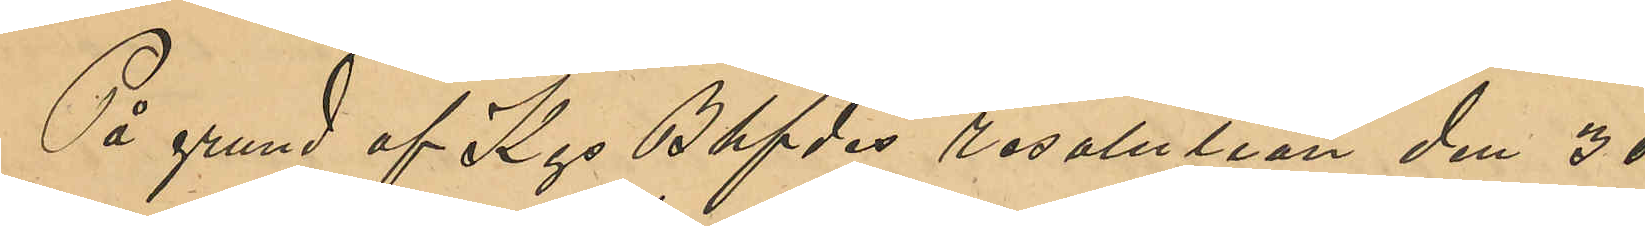På grund af Kgs Bhfdes resolution den 21
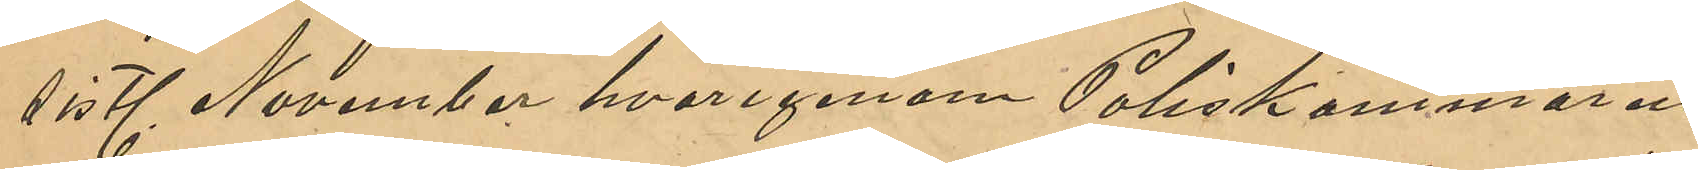sistl November hvarigenom Poliskammaren
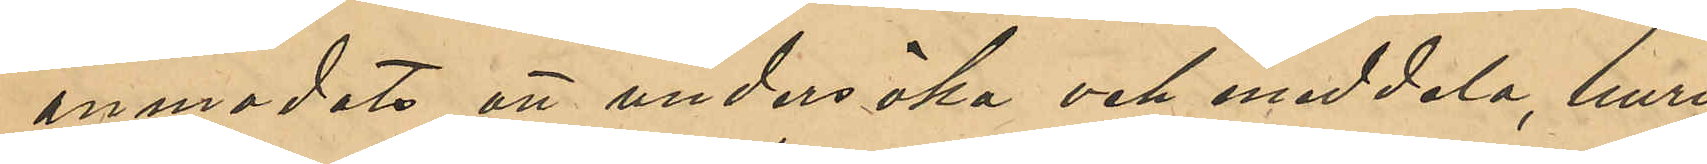anmodats att undersöka och meddela, huru
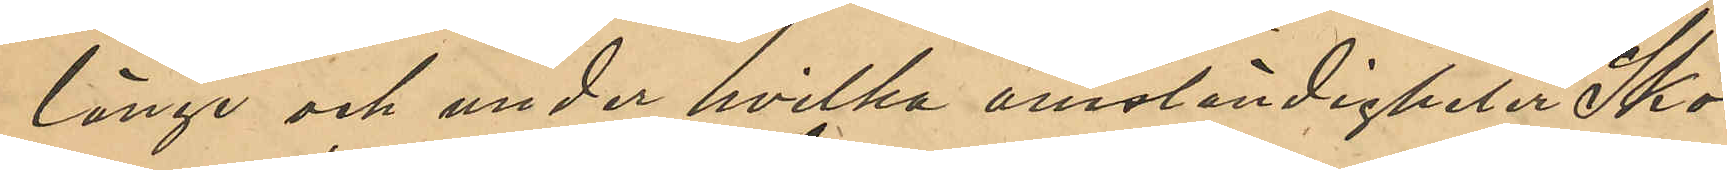länge och under hvilka omständigheter Sko¬
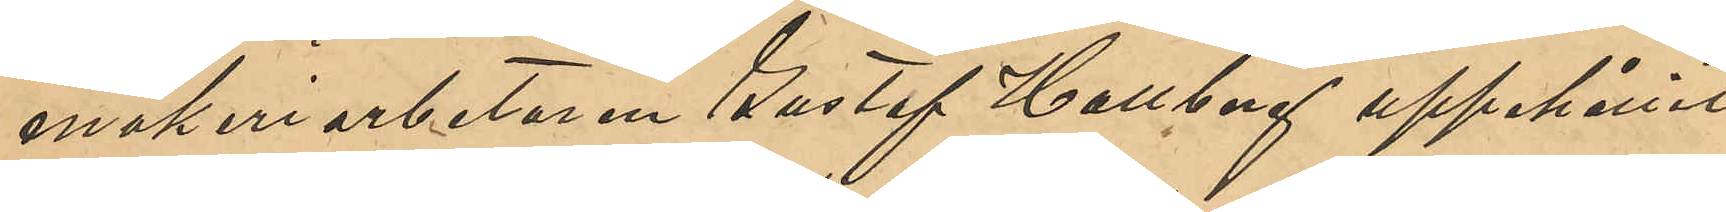makeriarbetaren Gustaf Hallberg uppehållit
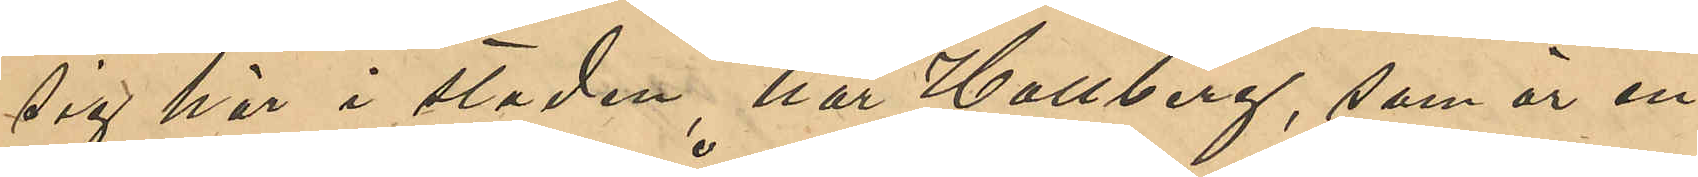sig här i staden, har Hallberg, som är in¬
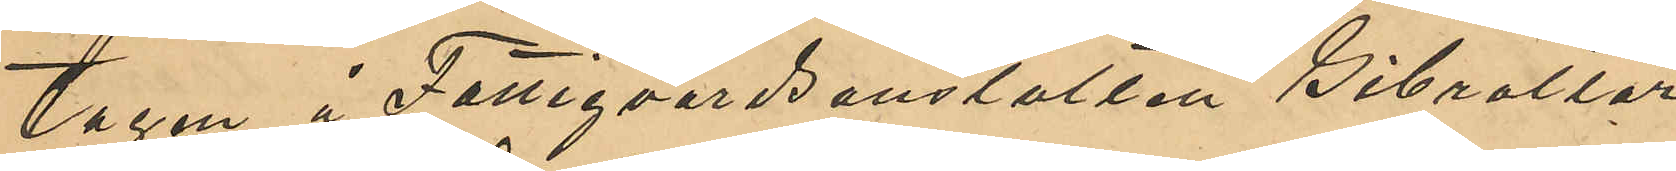tagen å Fattigvårdsanstalten Gibraltar,
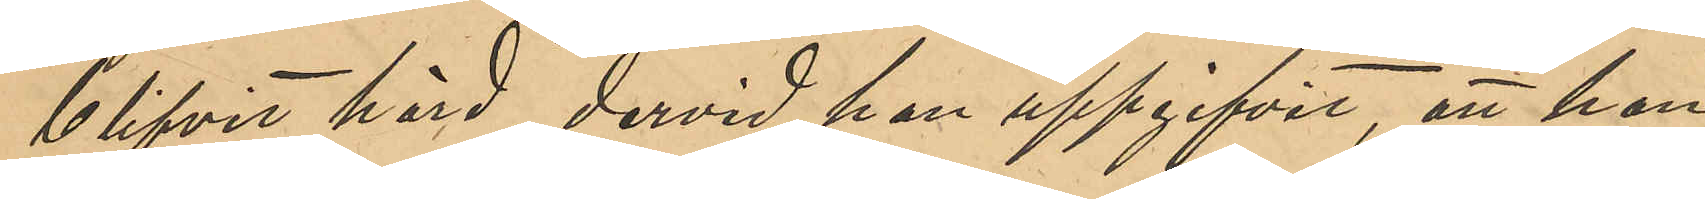blifvit hörd, dervid han uppgifvit, att han
